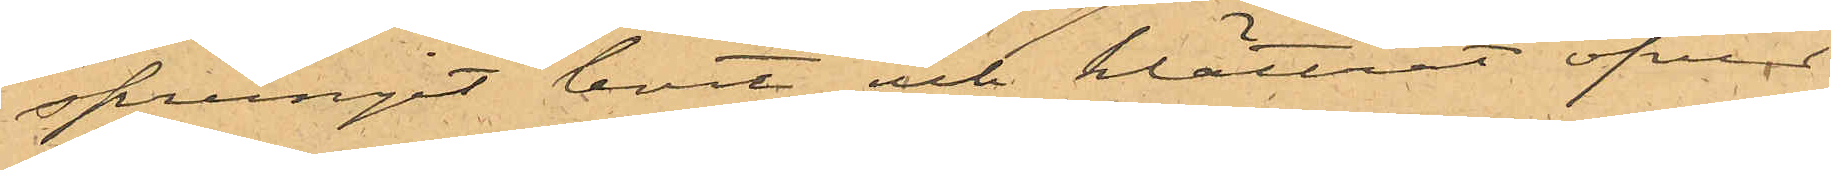sprungit bort och klättrat öfver
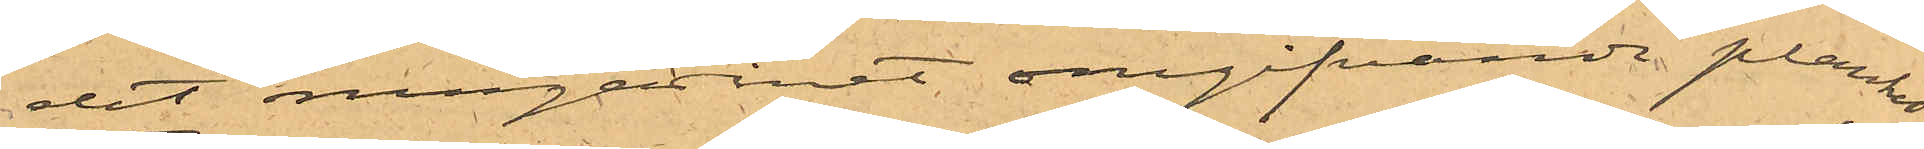det magasinet omgifvande planket.
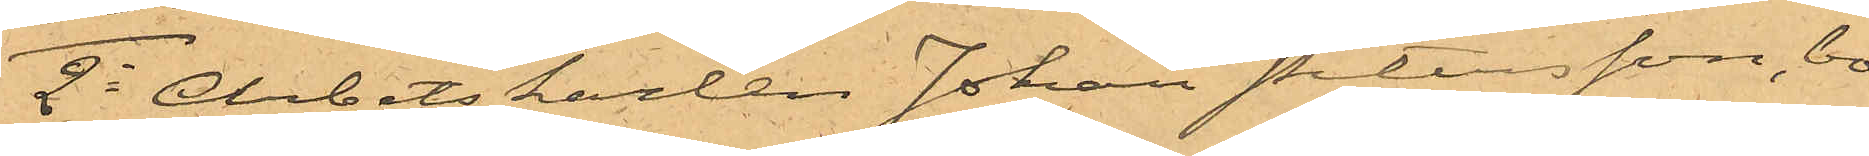2o Arbetskarlen Johan Petersson, bo¬
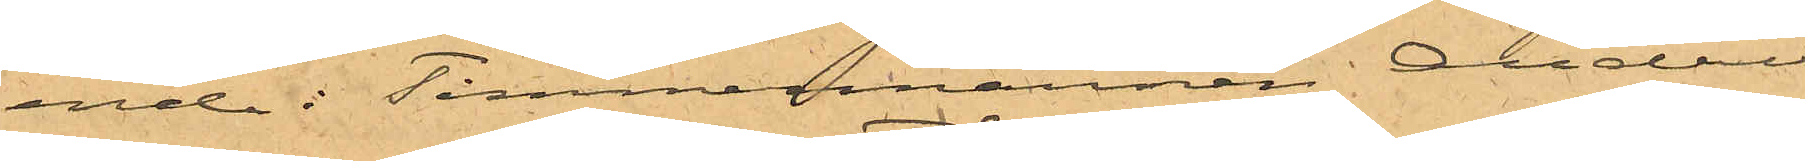ende i Timmermannen Anders
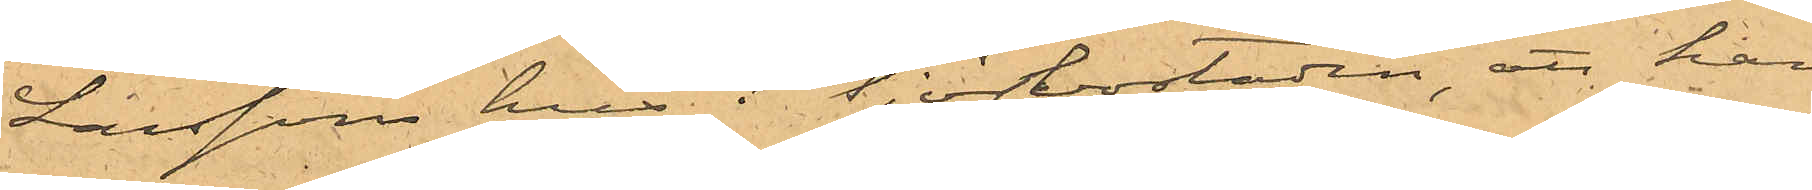Larssons hus i Tjörbostaden, att han
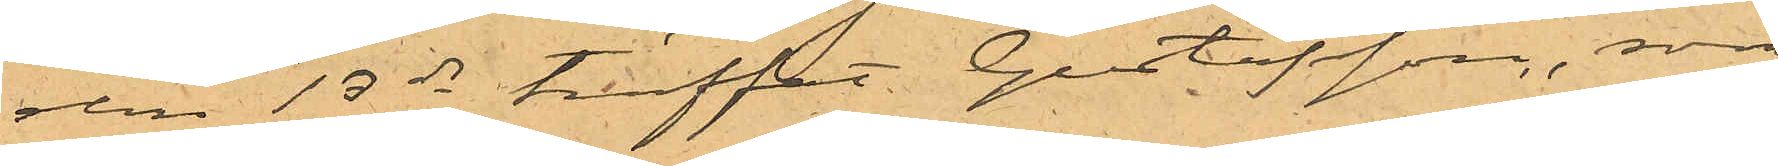den 13 ds träffat Gustafsson, som
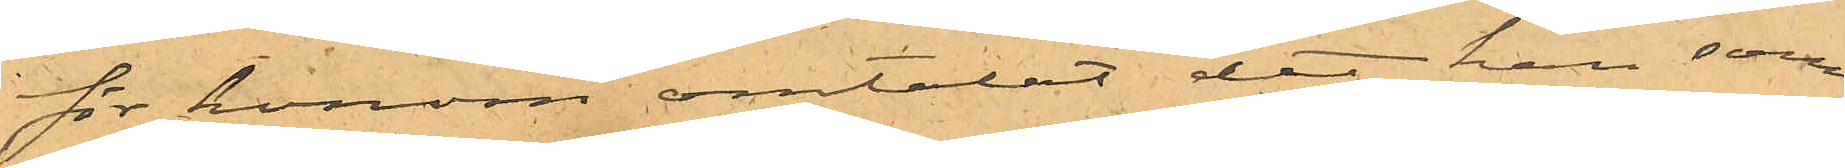för honom omtalat det han sam¬
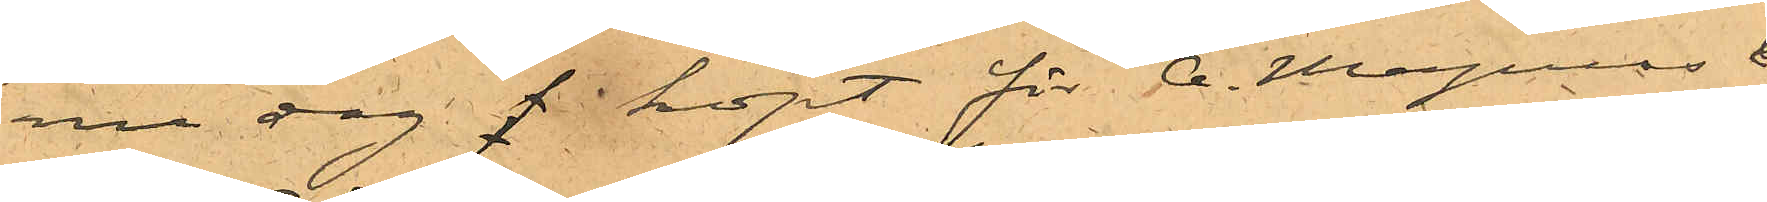na dag f köpt för A. Magnus &
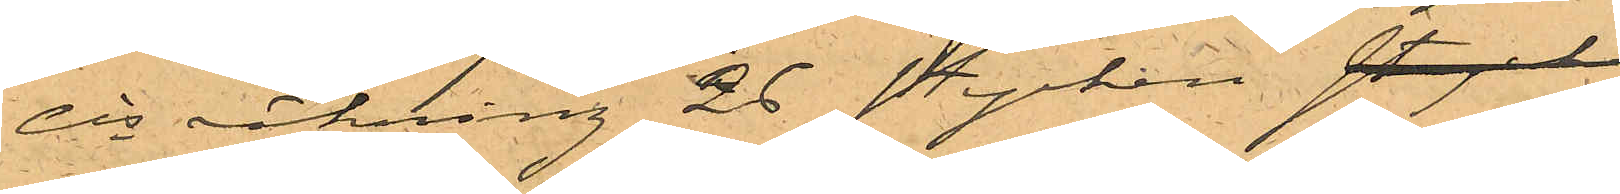Cis räkning 26 stycken stycken
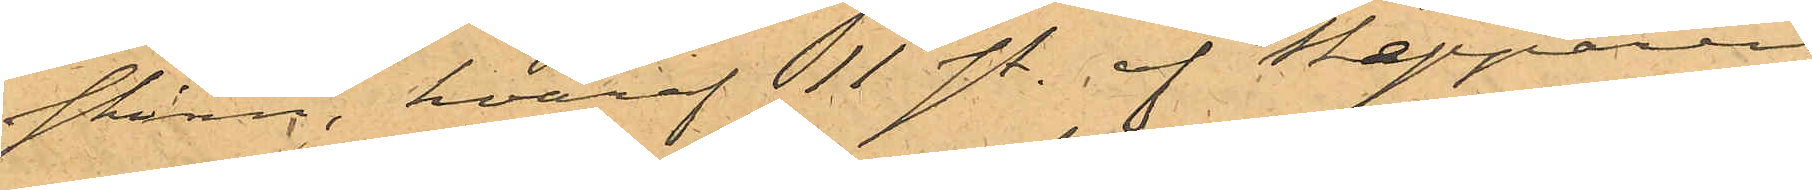skinn, hvaraf 11 st. af Skepparen
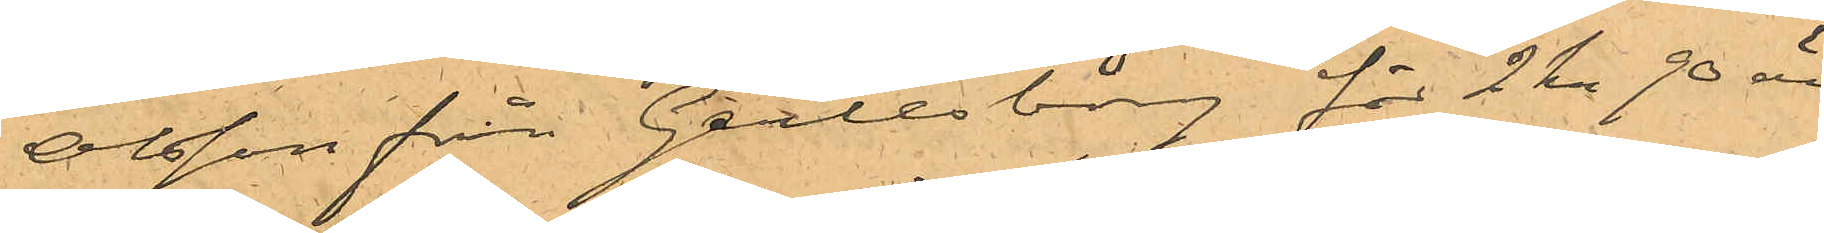Olsson från Gerlesborg för 2 kr 90 öre
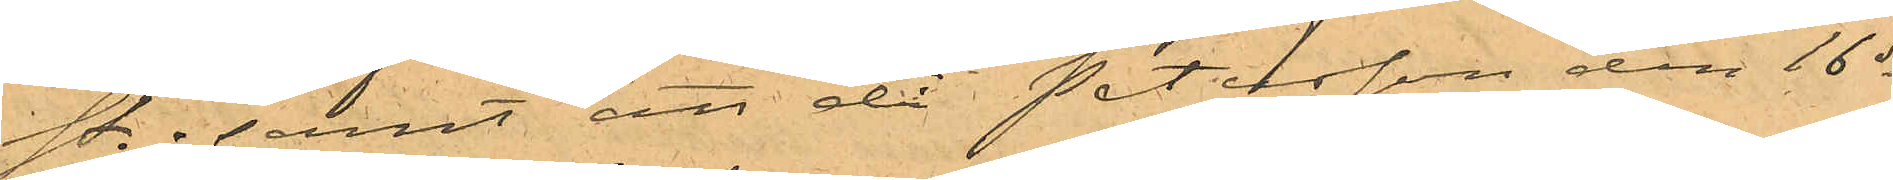st.; samt att då Petersson den 16 ds
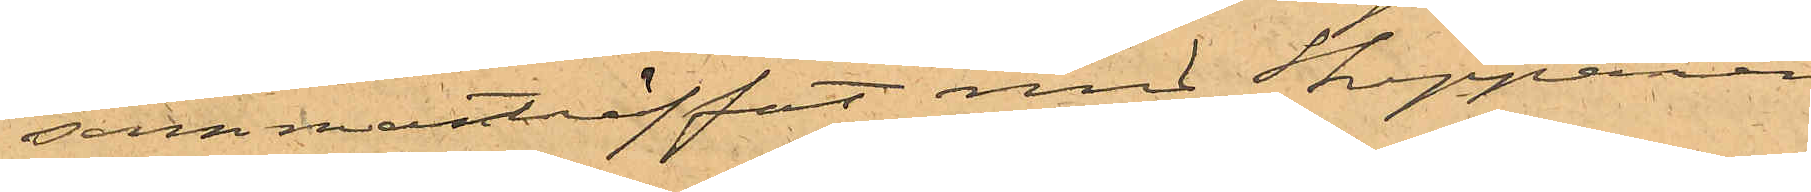sammanträffat med Skepparen
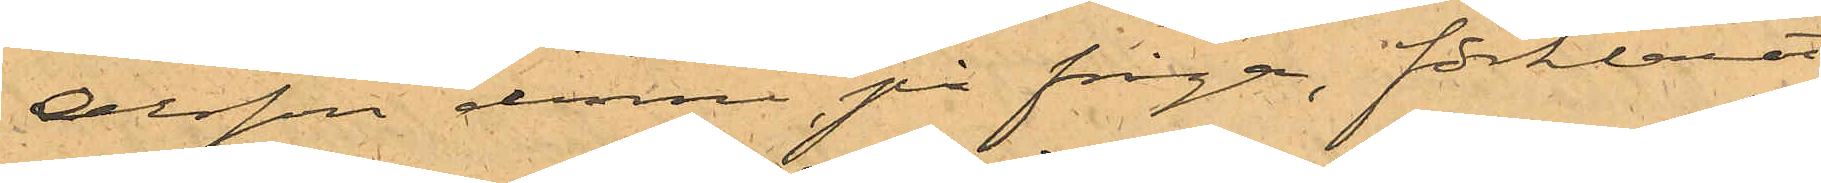Olsson denne på fråga, förklarat
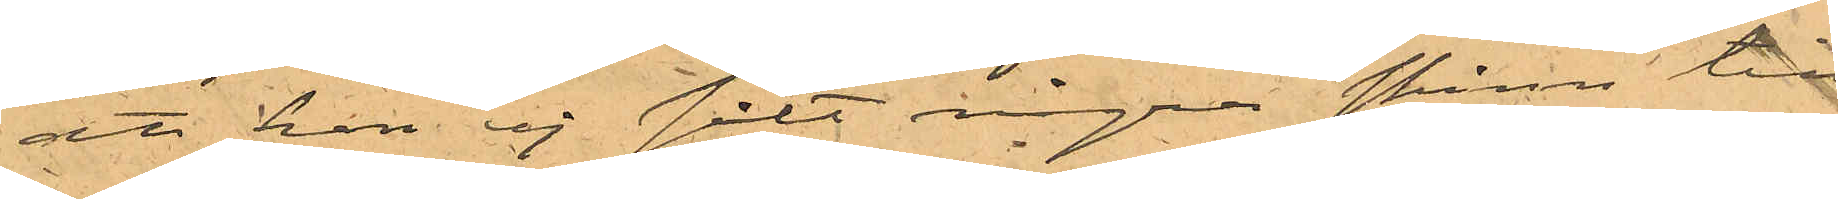att han ej sålt några skinn tilll
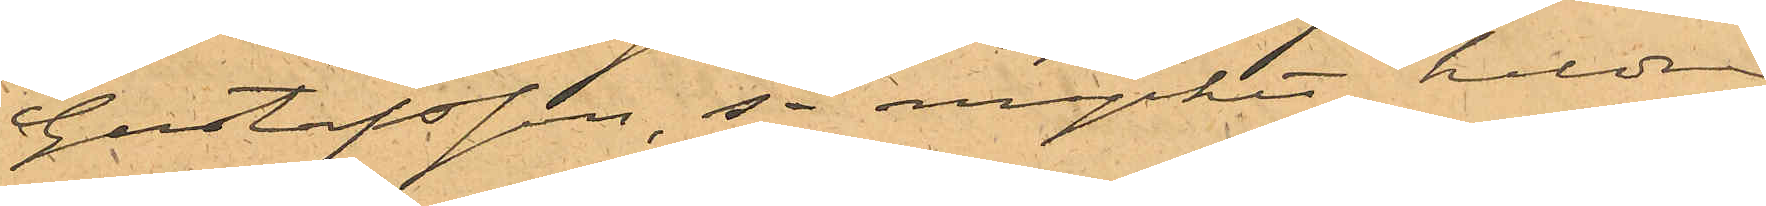Gustafsson så mycket heldre
